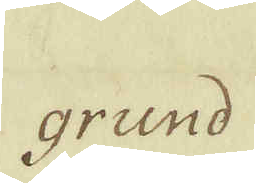grund
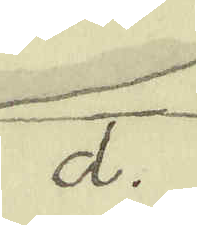d.
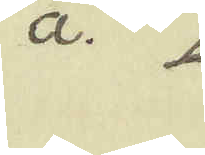a.
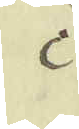c
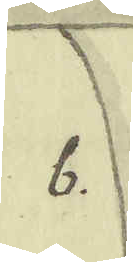b.
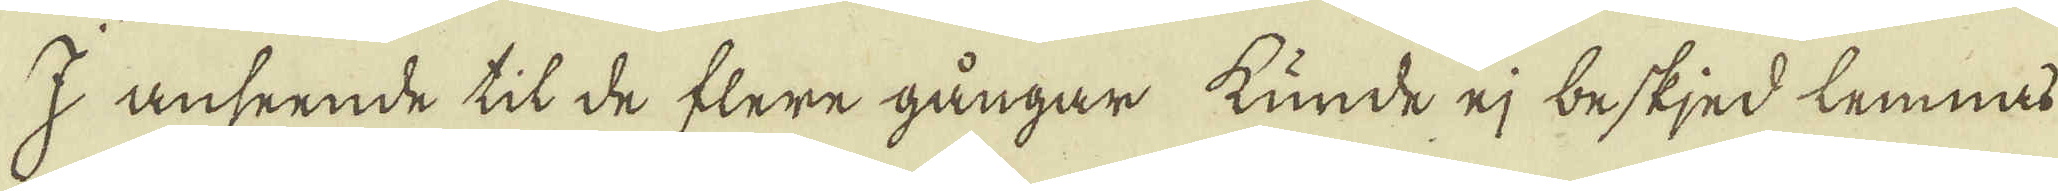I anseende til de flere gångar kunde ej beskjed lemnat
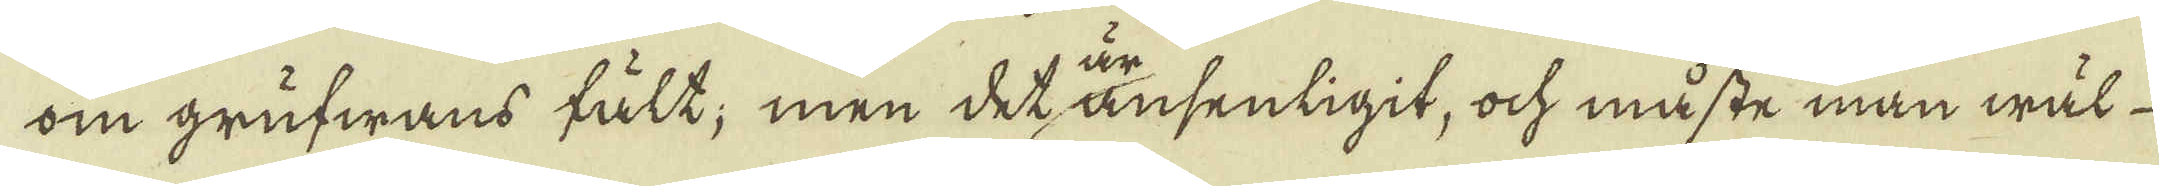om grufwans fält; men det änsenligit, ock måste man wäl
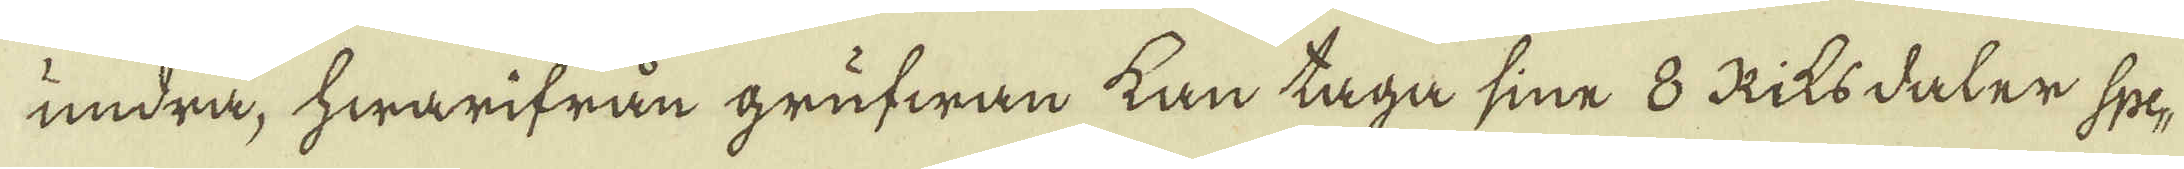undra, hwarifrån grufwan kan taga sine 8 Riksdaler Spe-
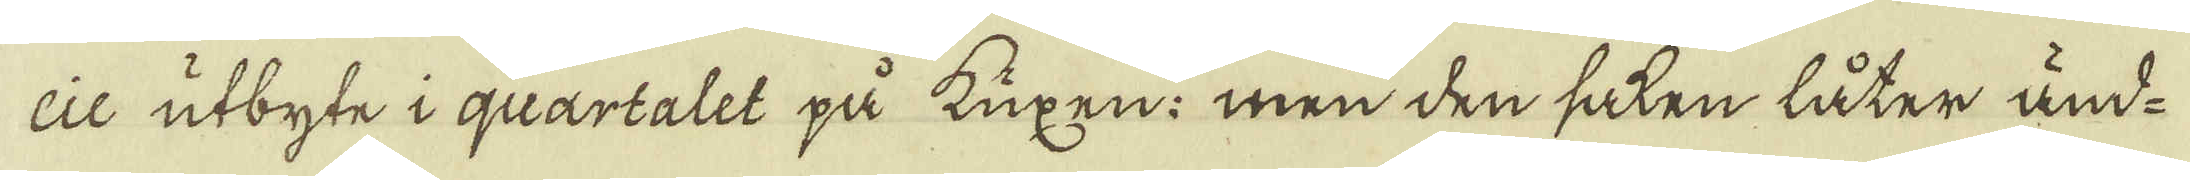cie utbyte i quartalet på kuxen; men den saken låter änd-
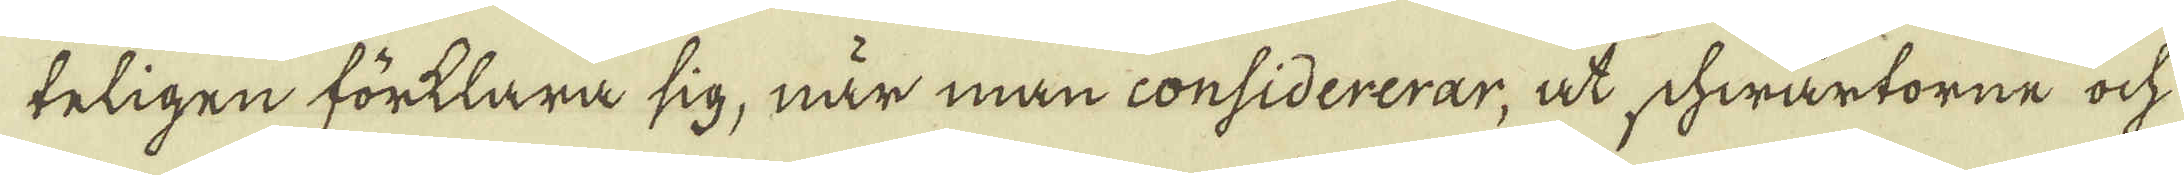teligen förklara sig, när man considererar, at shwartorne ock
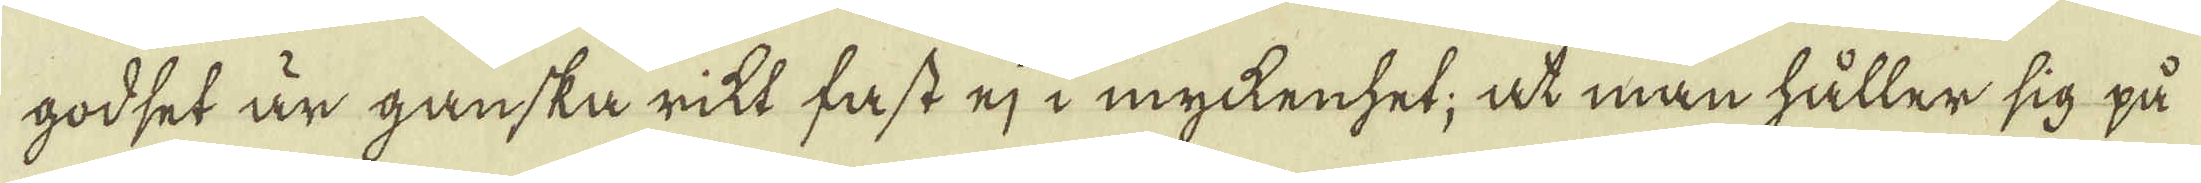godset är ganska rikt fast ej i myckenhet, at man håller sig på
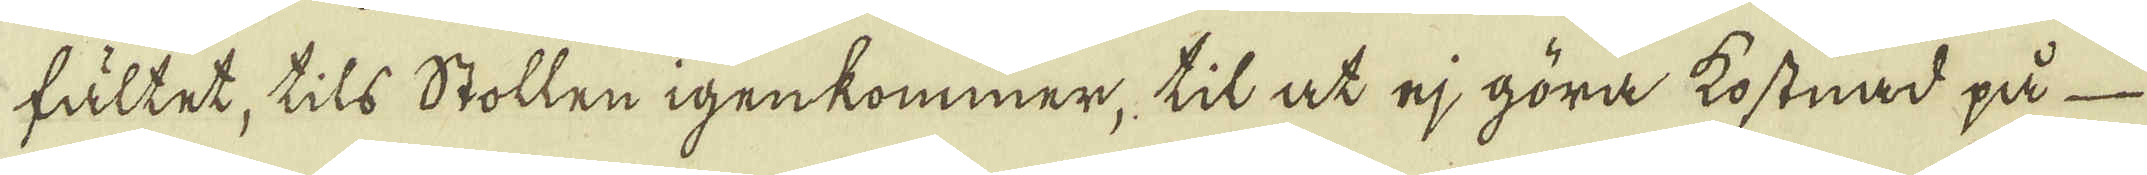fältet, tils Stollen igenkommer, til at ej göra kostnad på
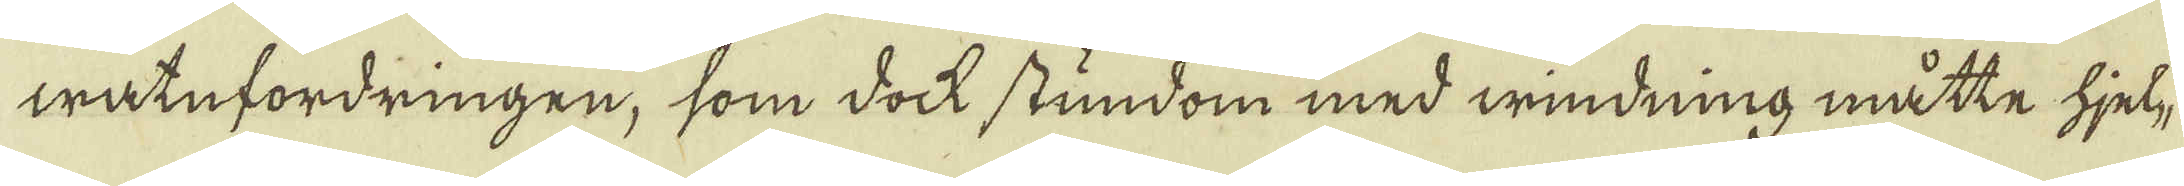watnfordringen, som dock stundom med windning måtte hjel-
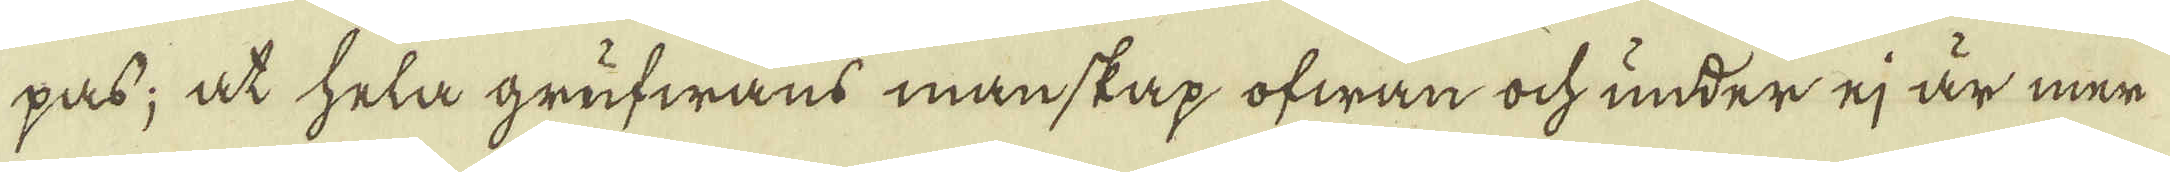pass; at hela grufwans manskap ofwan ock under ej är mer
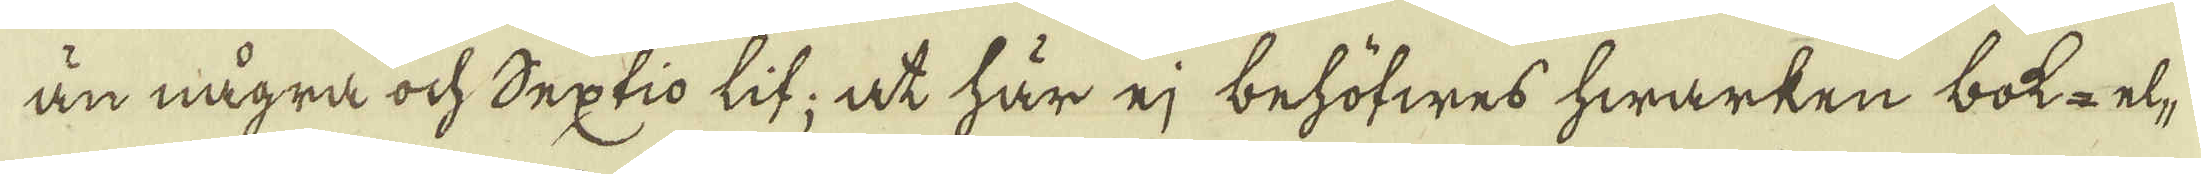än några ock Septio lif; at här ej behöfwes hwarken bok- el-
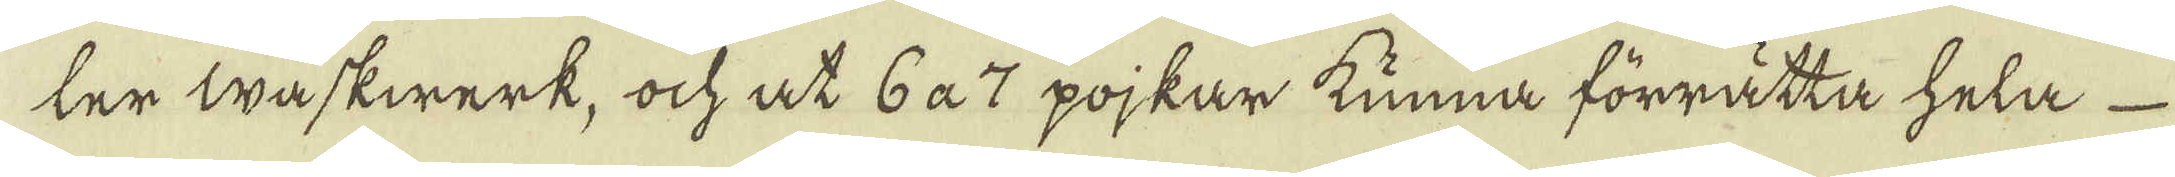ter waskwerk, ock at 6 a 7 pojkar kunna förrätta hela
